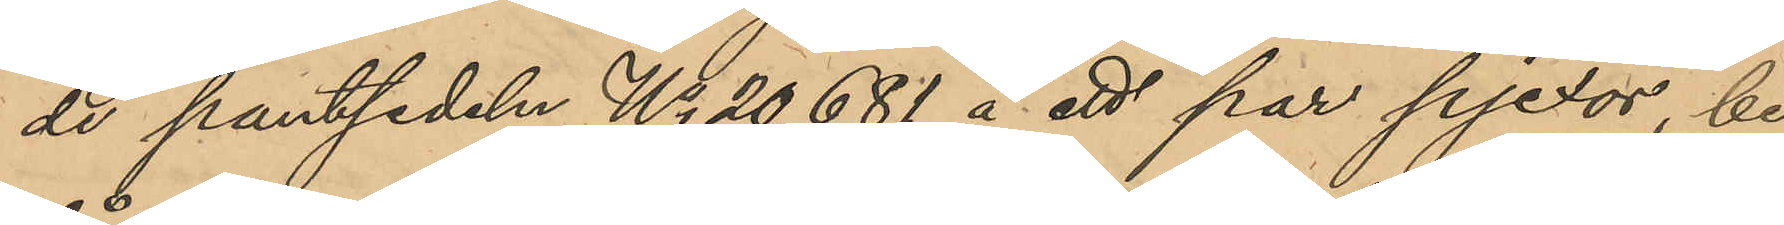de pantsedel No 20681 å ett par pjexor, be¬
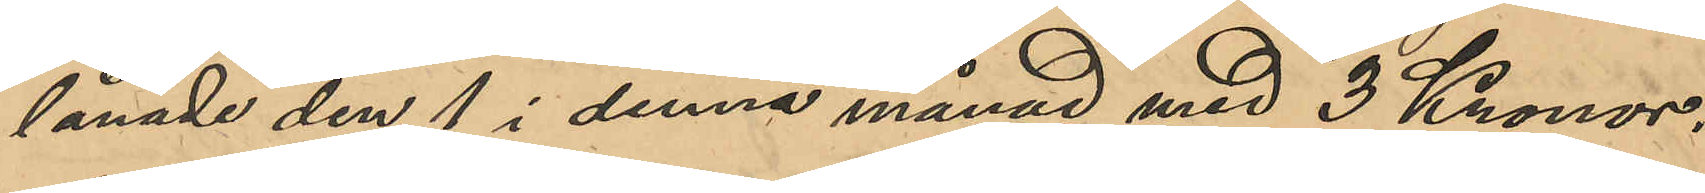lånade den 1 i denna månad med 3 Kronor.
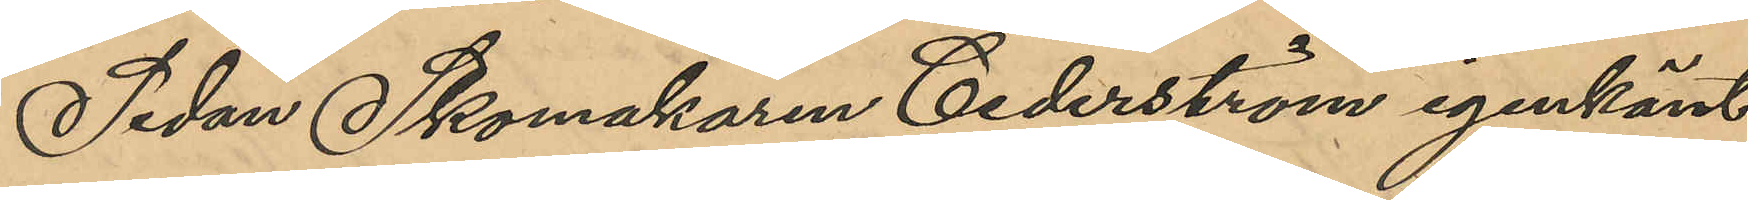Sedan Skomakaren Cederström igenkänt
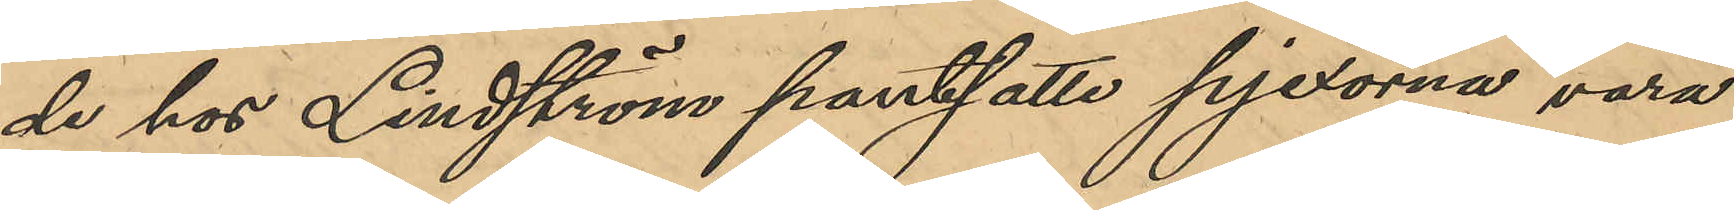de hos Lindström pantsatte pjexorna vara
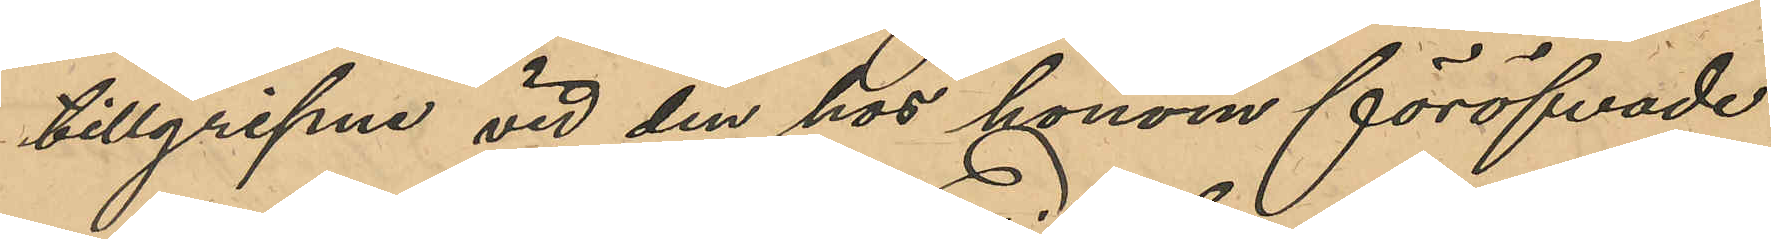tillgripne vid den hos honom föröfvade
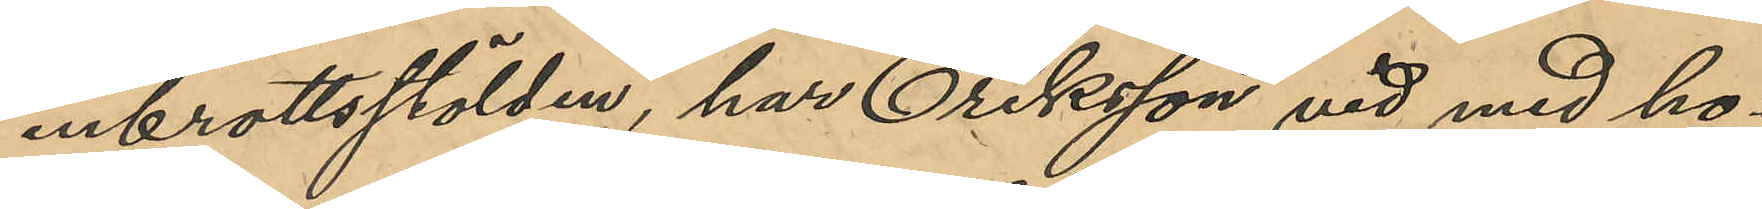inbrottsstölden, har Eriksson vid med ho¬
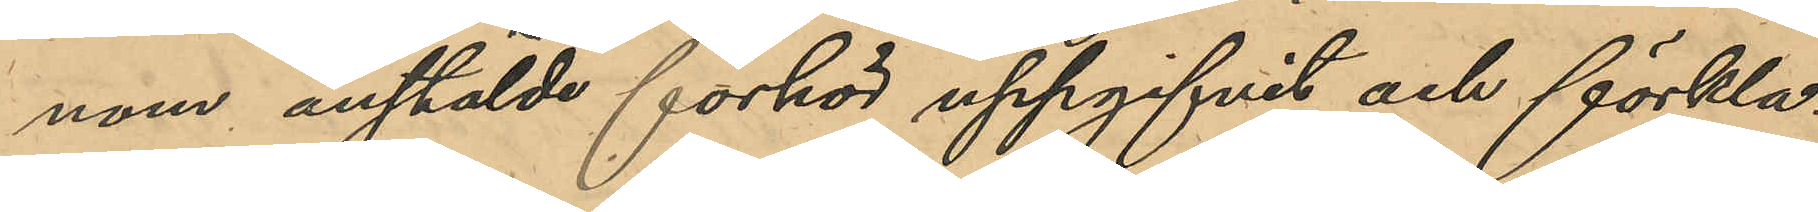nom anstälde förhör uppgifvit och förkla¬
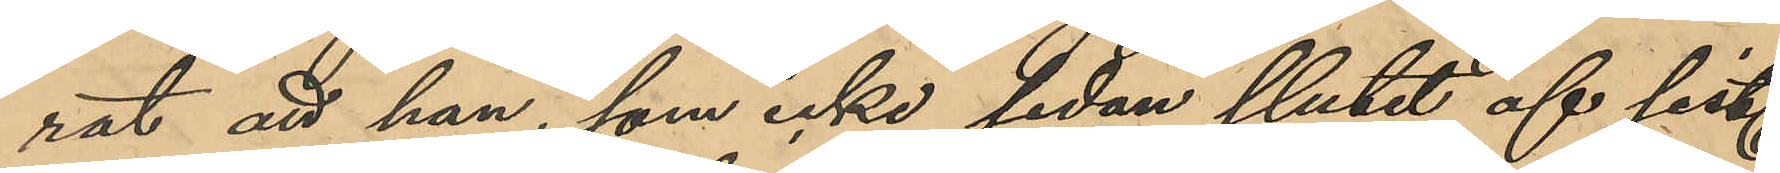rat att han, som icke sedan slutet af sist.
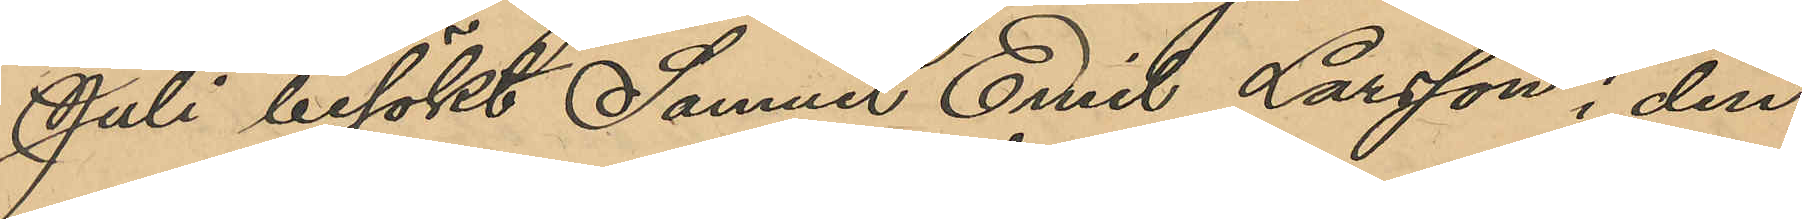Juli besökt Samuel Emil Larsson i den¬
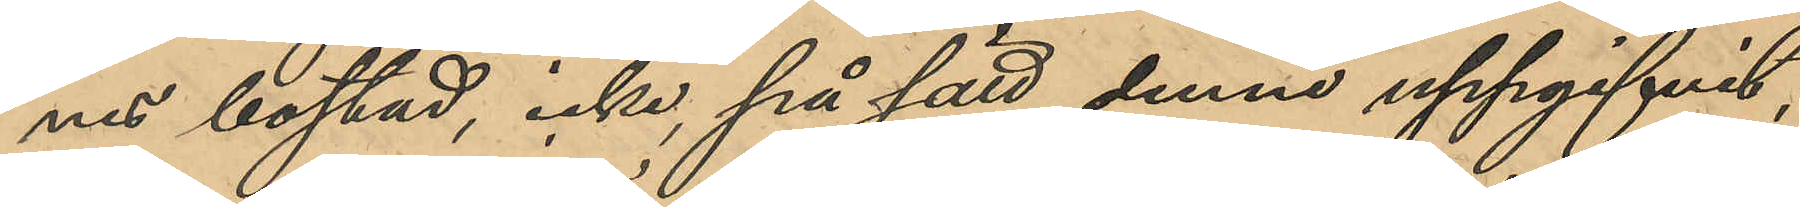nes bostad, icke på sätt denne uppgifvit,
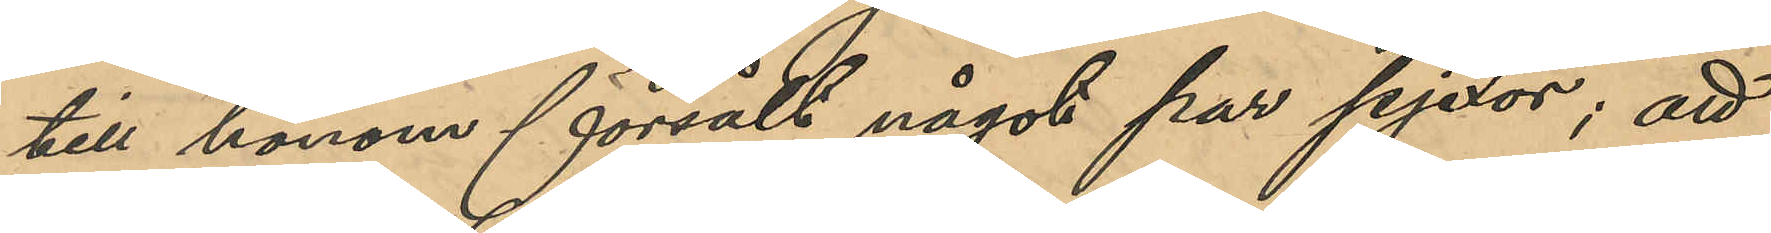till honom försålt något par pjexor; att 
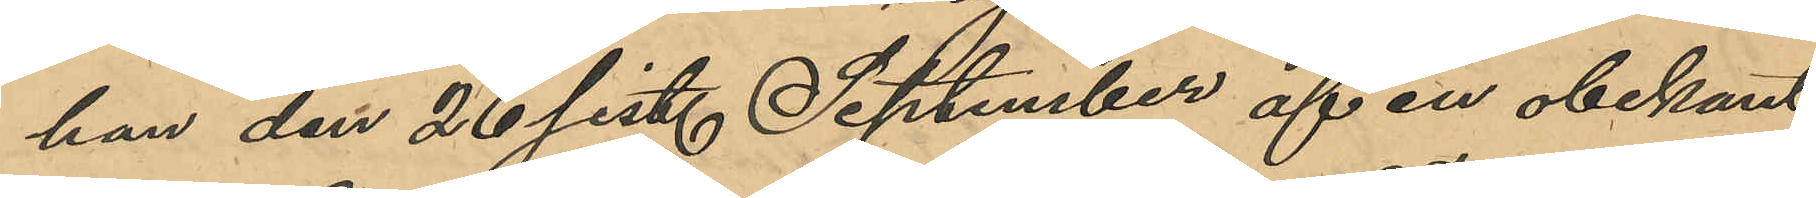han den 26 sist. September af en obekant
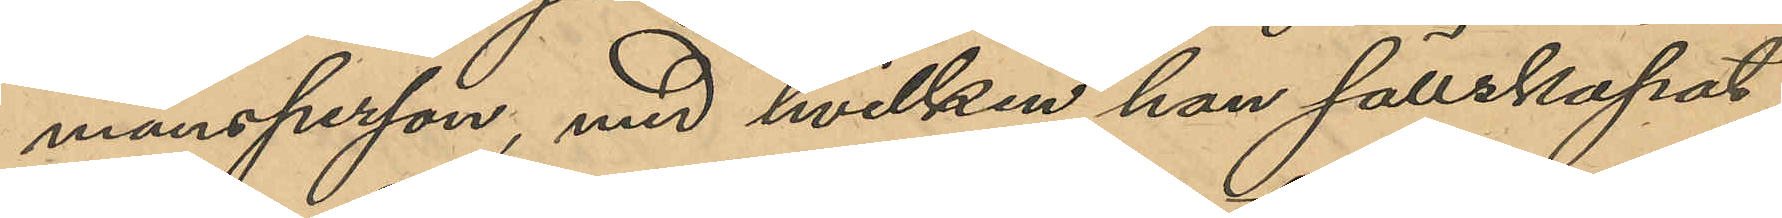mansperson, med hvilken han sällskapat
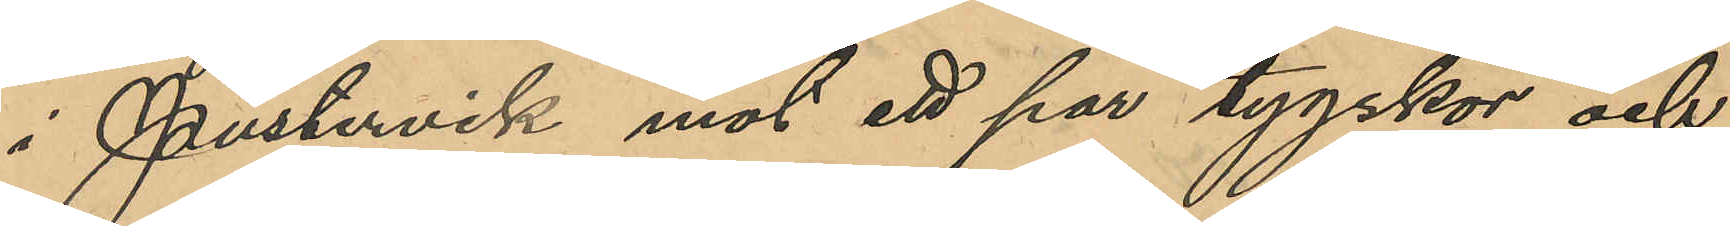i Pustervik mot ett par tygskor och
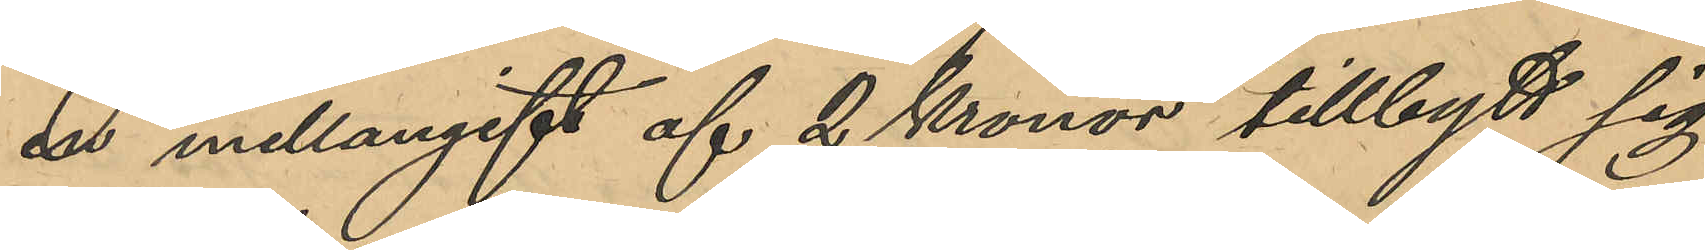en mellangift af 2 Kronor tillbytt sig
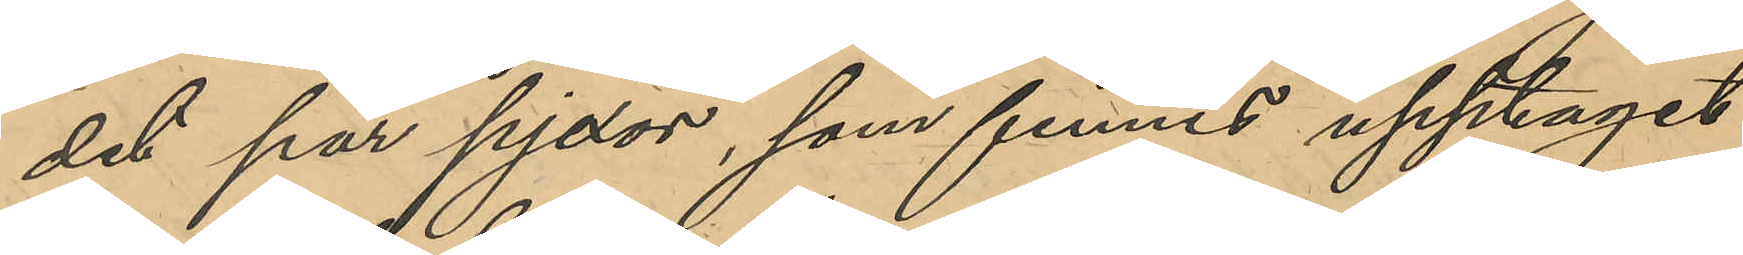det par pjexor, som funnes upptaget
